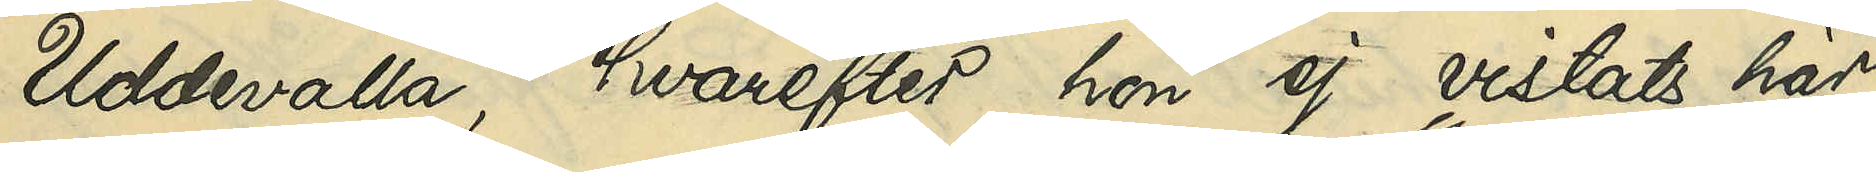Uddevalla, hvarefter hon ej vistats här
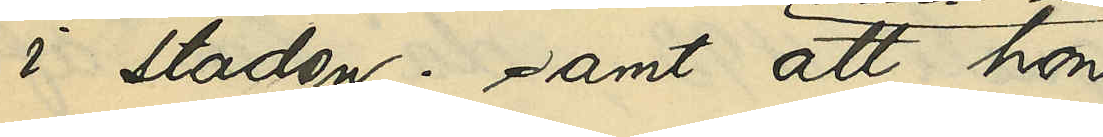i staden; samt att hon
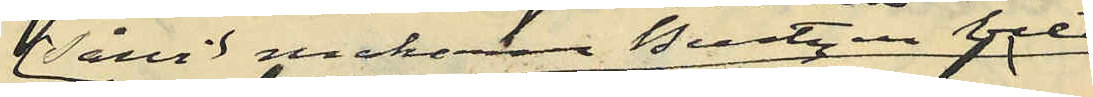såvidt makarne Berntzén veta
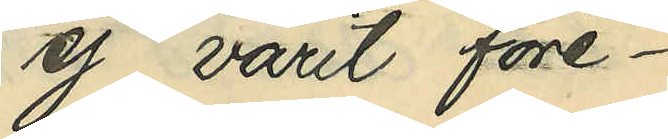ej varit före¬
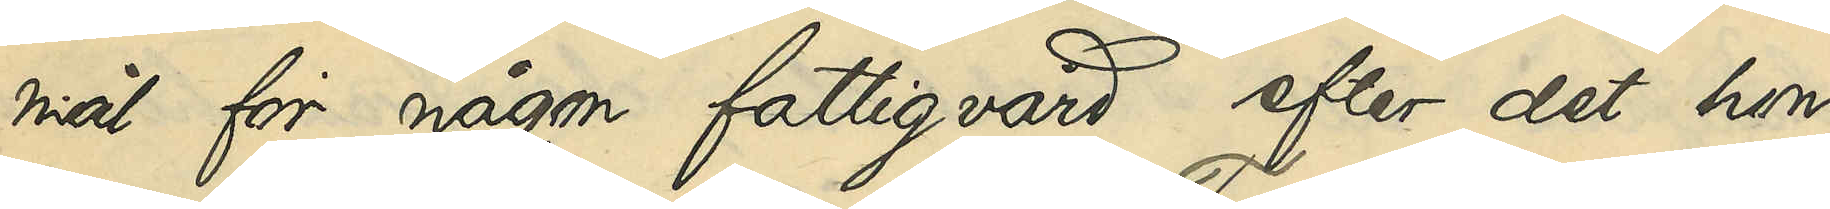mål för någon fattigvård efter det hon
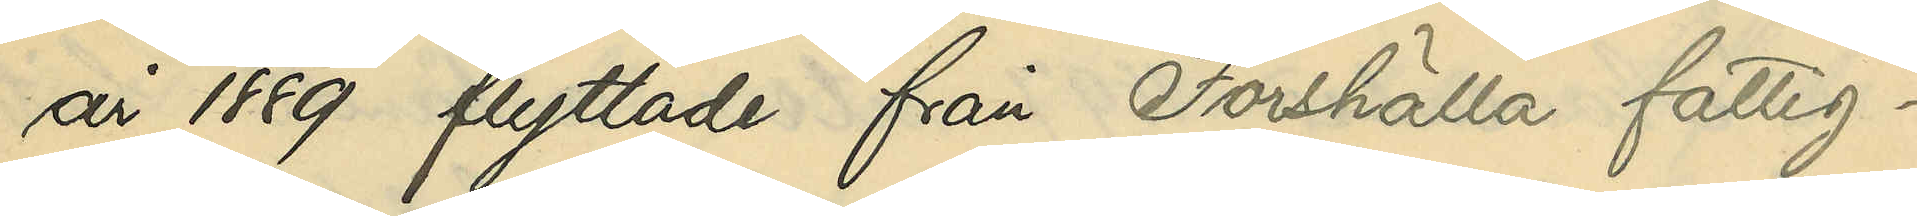år 1889 flyttade från Forshälla fattig¬
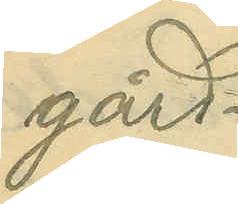gård.
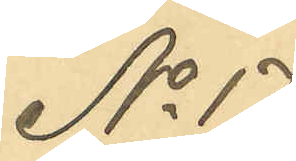No 17
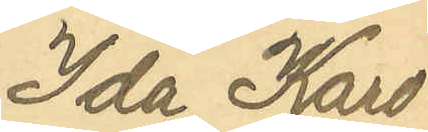Ida Karo¬
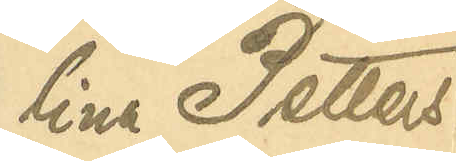lina Petters¬
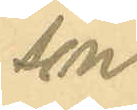son
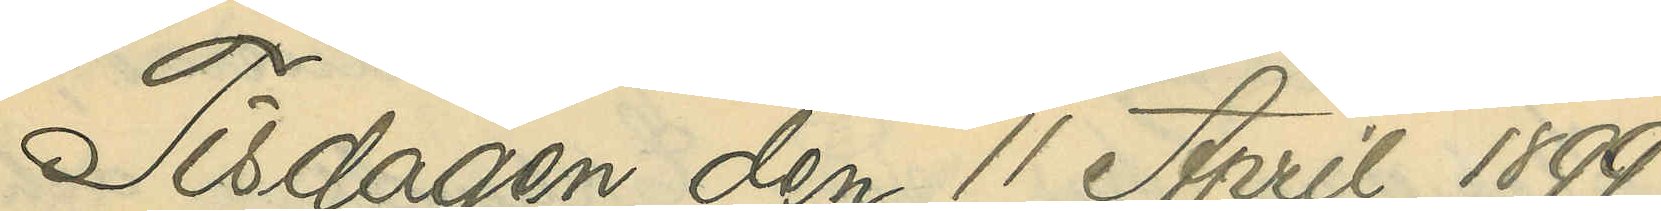Tisdagen den 11 April 1899
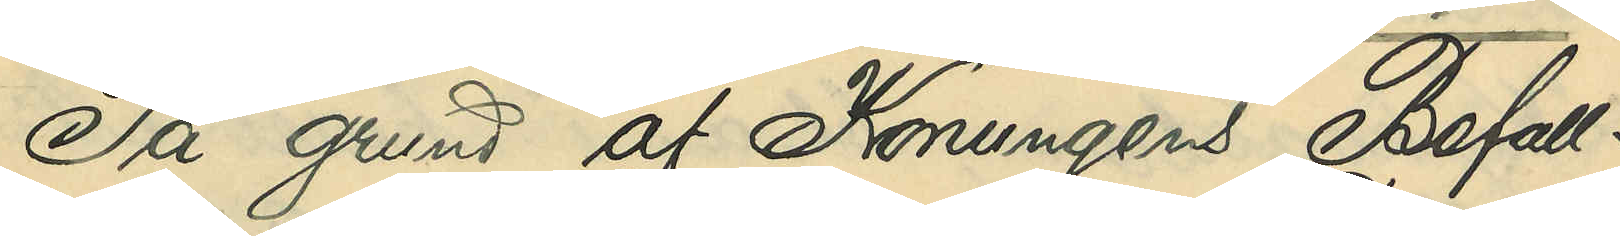På grund af Konungens Befall¬
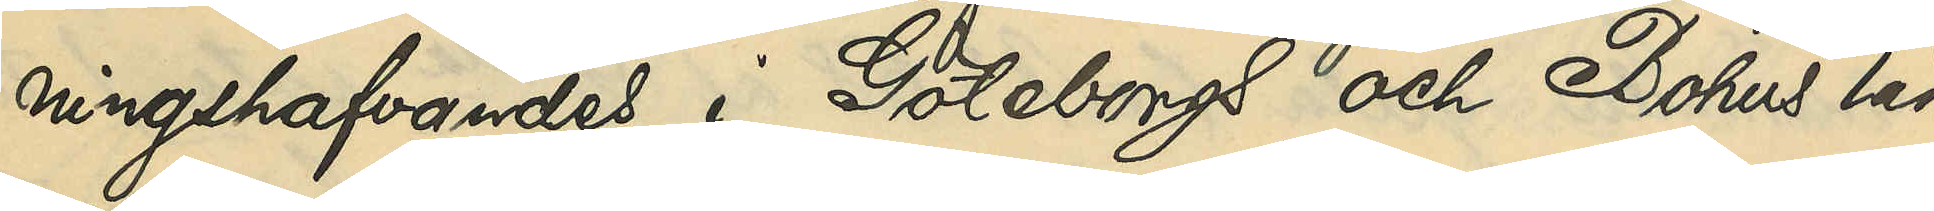ningshafvandes i Göteborgs och Bohus län
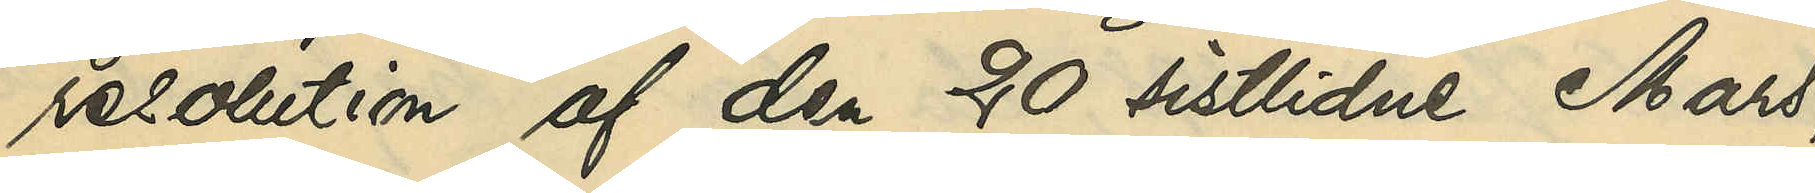resolution af den 20 sistlidne Mars,
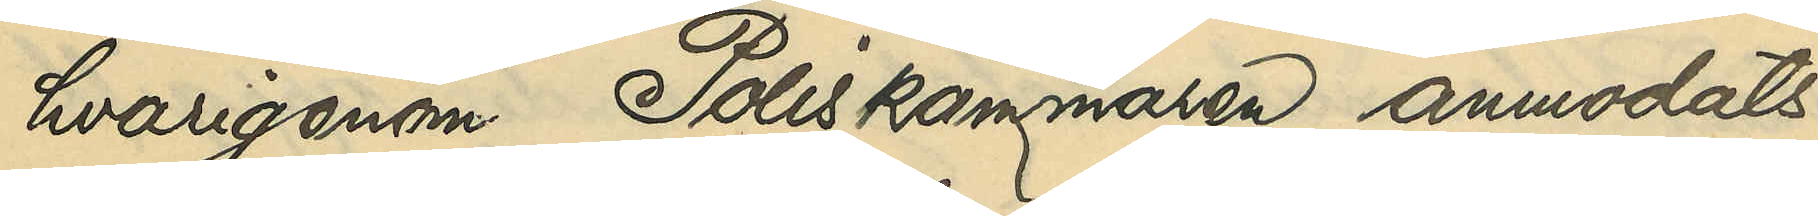hvarigenom Poliskammaren anmodats
